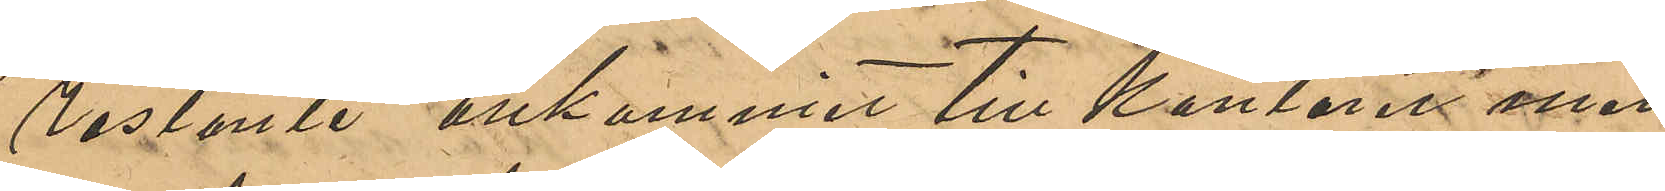Restante" ankommit till Kontoret men
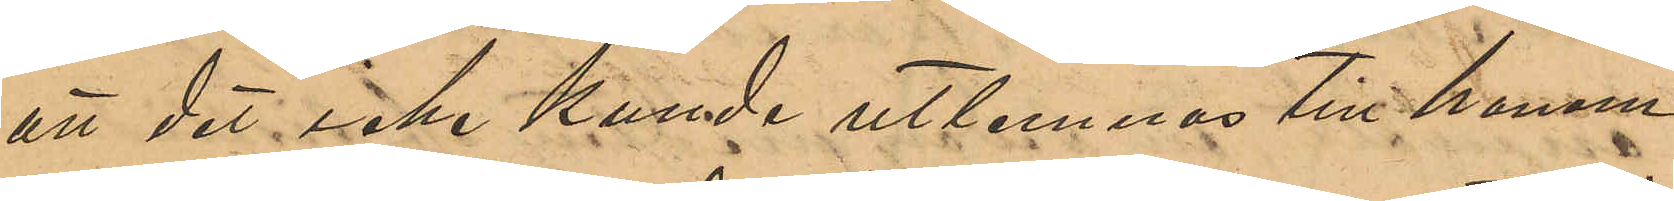att det icke kunde utlemnas till honom;
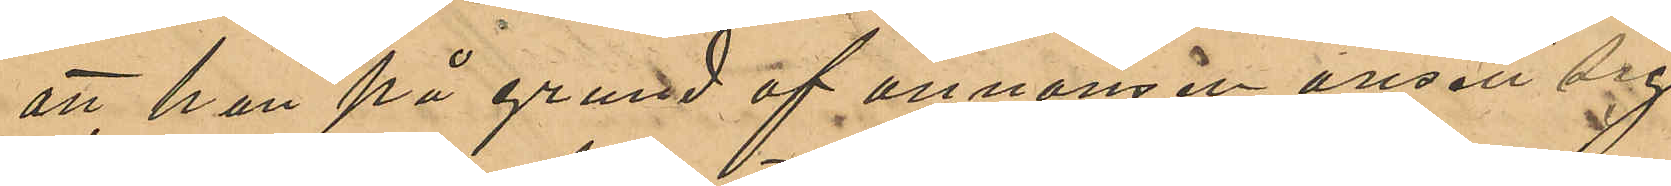att han på grund af annonsen ansett sig
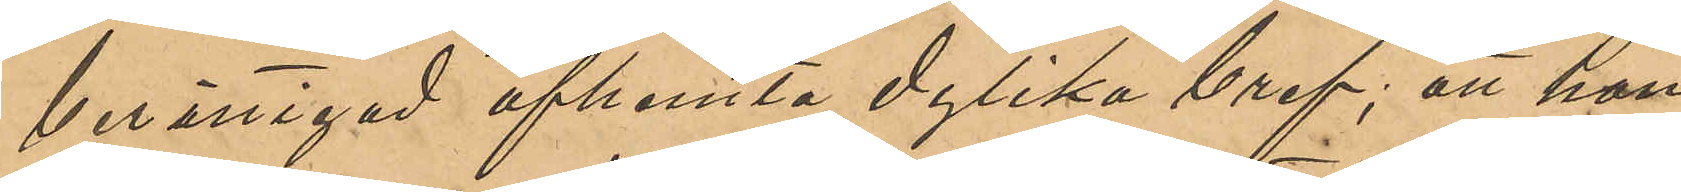berättigad afhemta dylika bref; att han
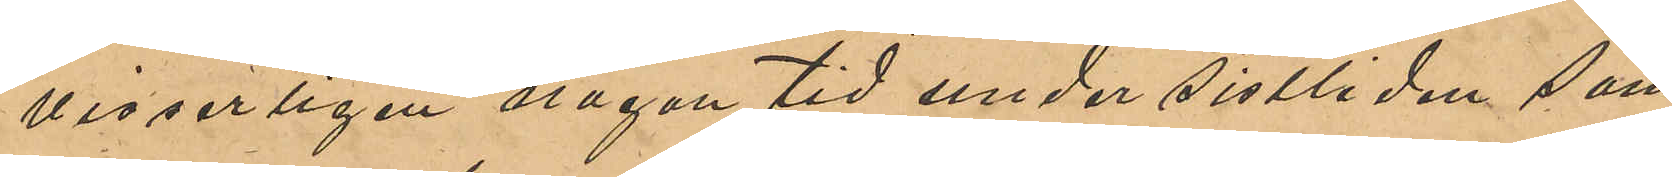visserligen någon tid under sistlidne som¬
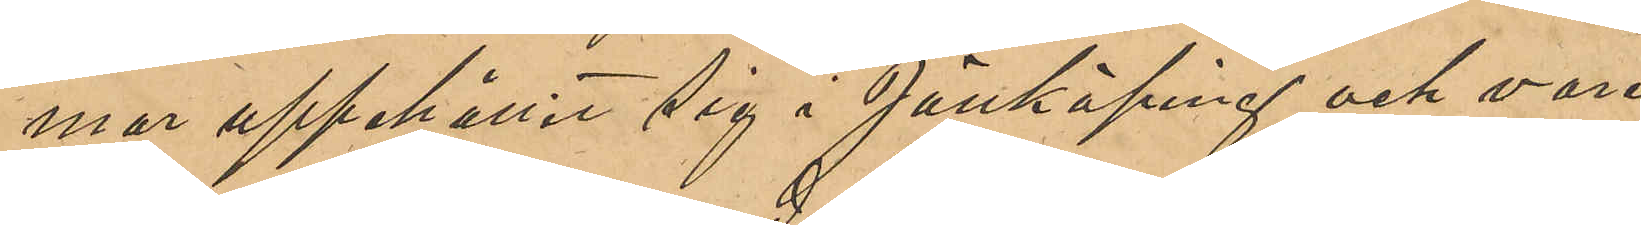mar uppehållit sig i Jönköping och vore
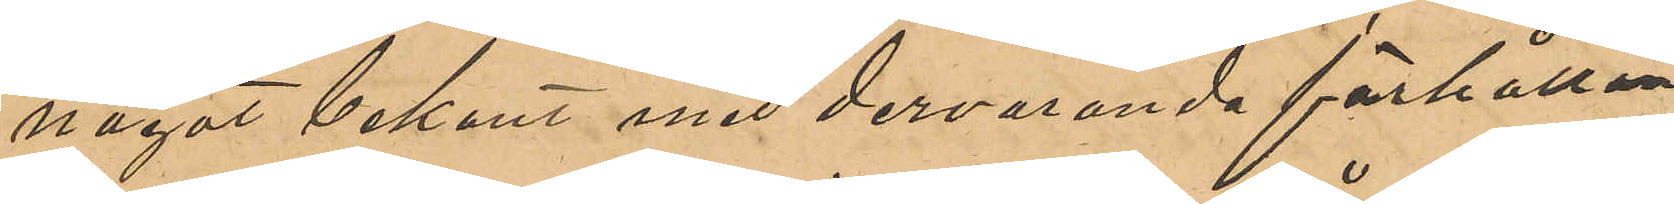något bekant med dervarande förhållan¬
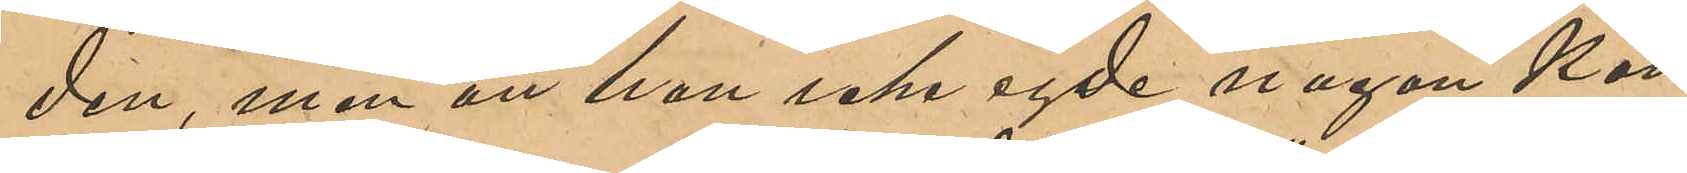den, men att han icke egde någon kän¬
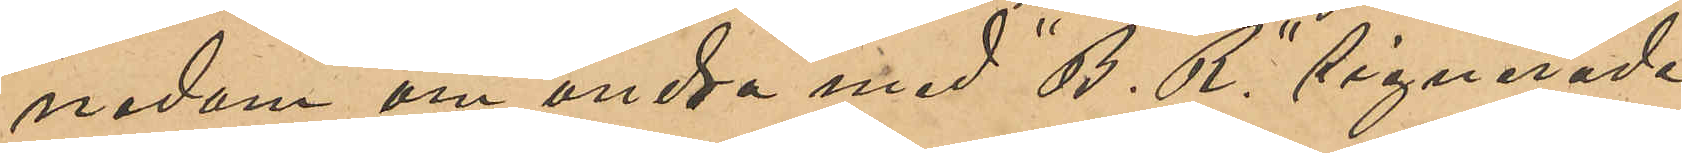nedom om andra med "B. R." signerade
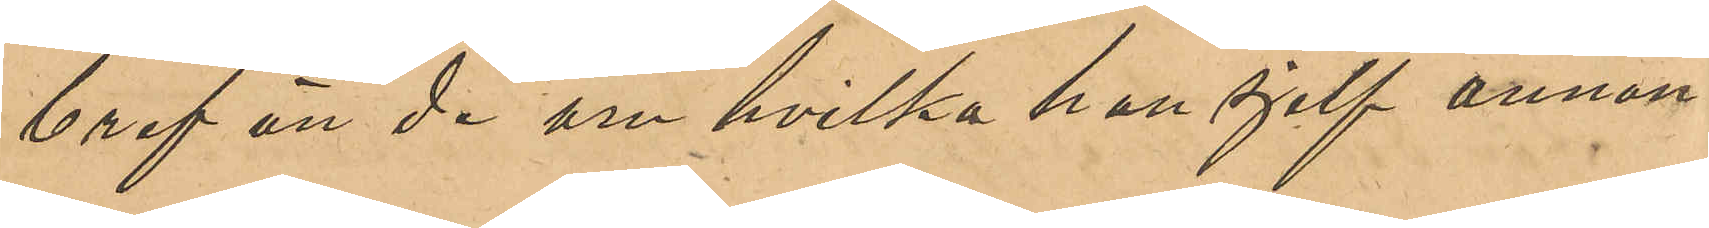bref än de om hvilka han sjelf annon¬
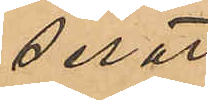serat.
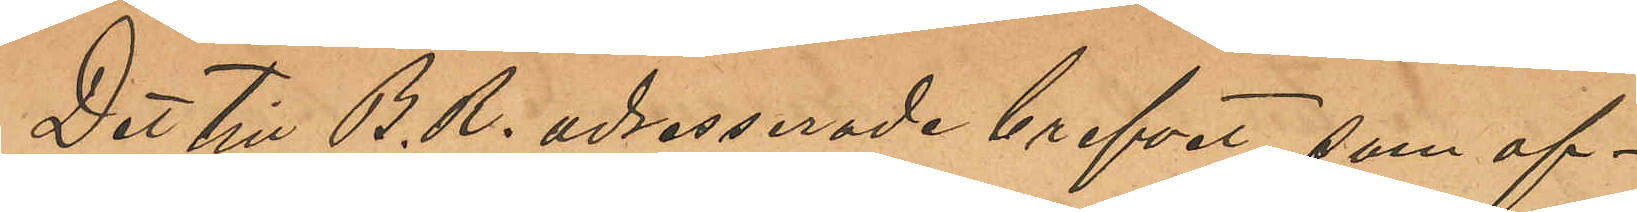Det till B. R. adresserade brefvet, som af¬
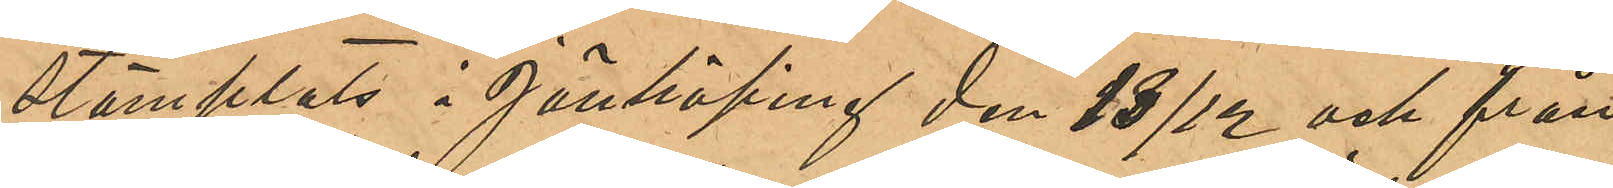stämplats i Jönköping den 13/12 och från
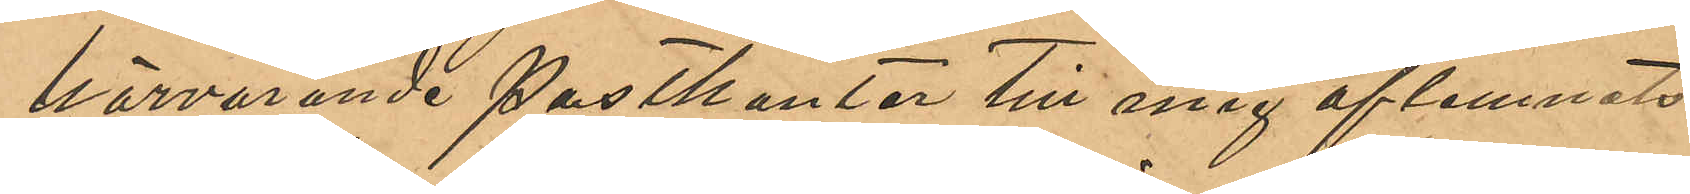härvarande Postkontor till mig aflemnats
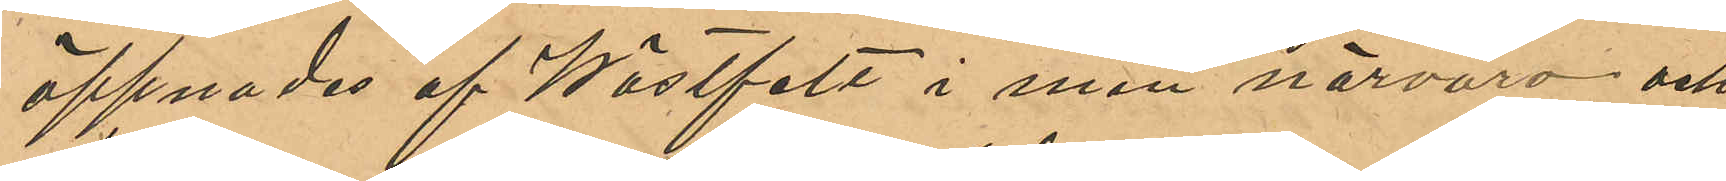öppnades af Wästfelt i min närvaro och
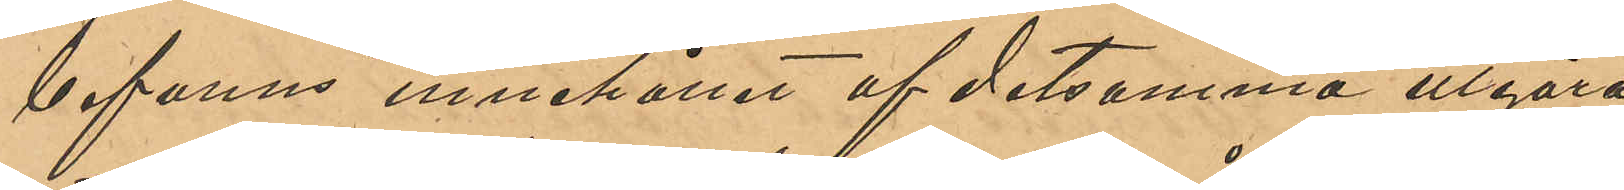befanns innehållet af detsamma utgöra
